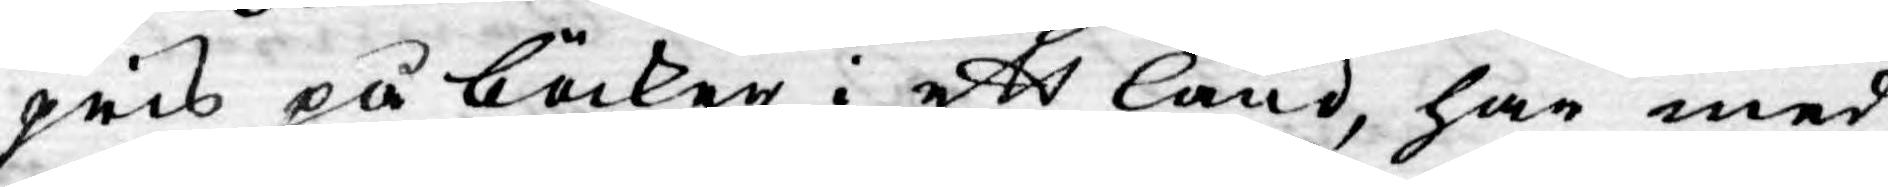pris på böcker i ett Land, har med
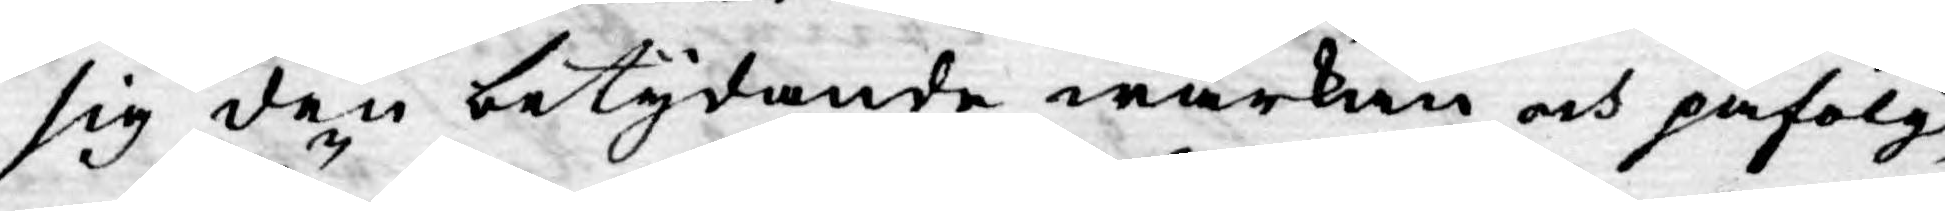sig den betydande wärkan och påfölgd,
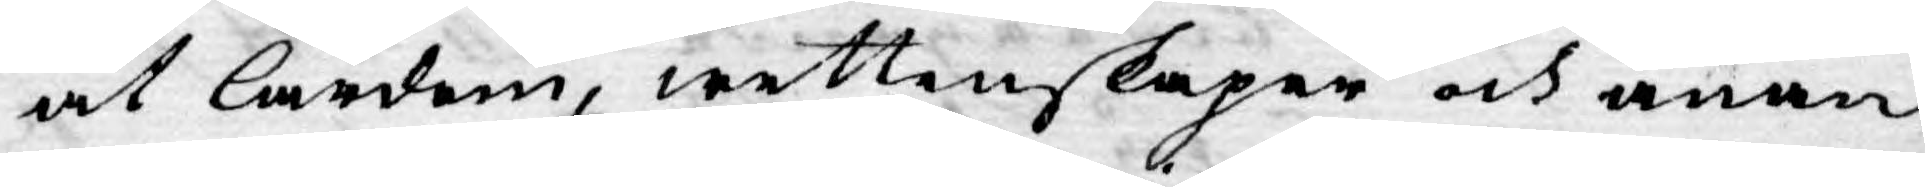at lärdom, wettenskaper och anan
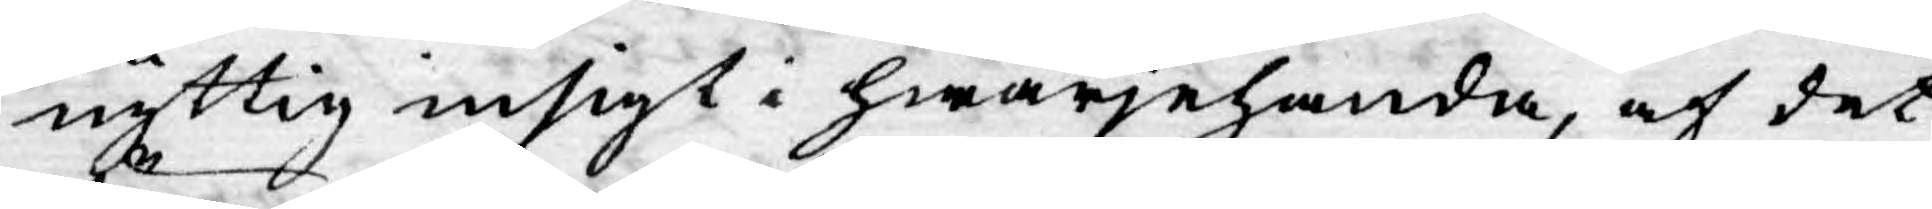nyttig insigt i hwarjehanda, af det
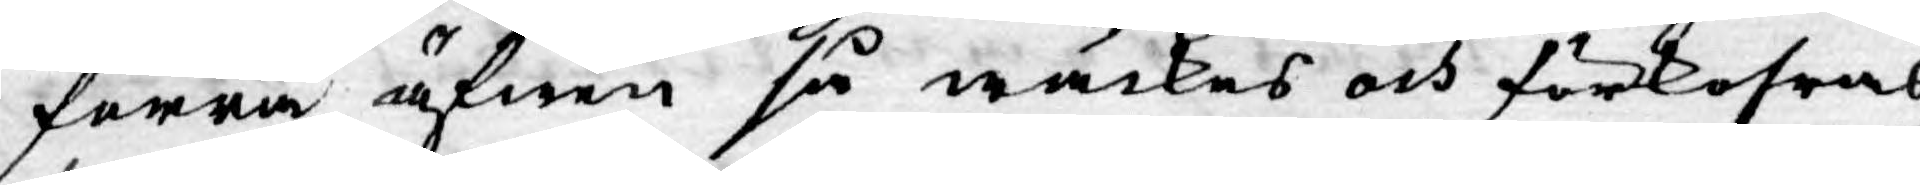förra äfwen så wäckes och förkofras
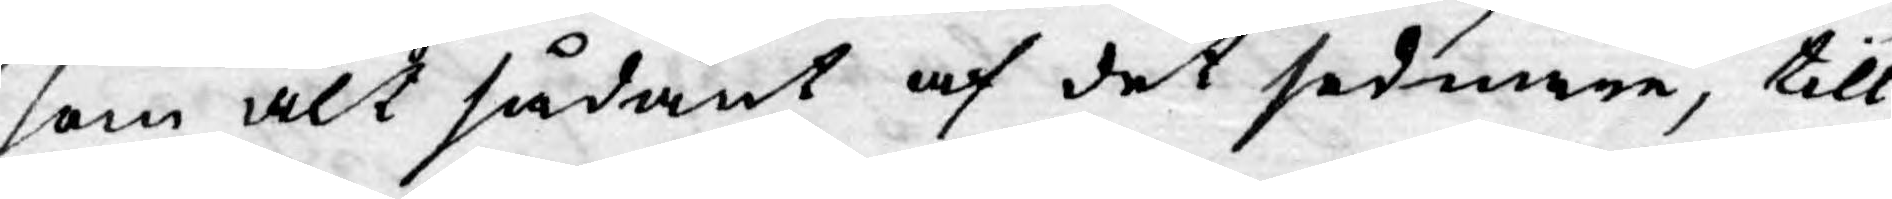som alt sådant af det sednare, till
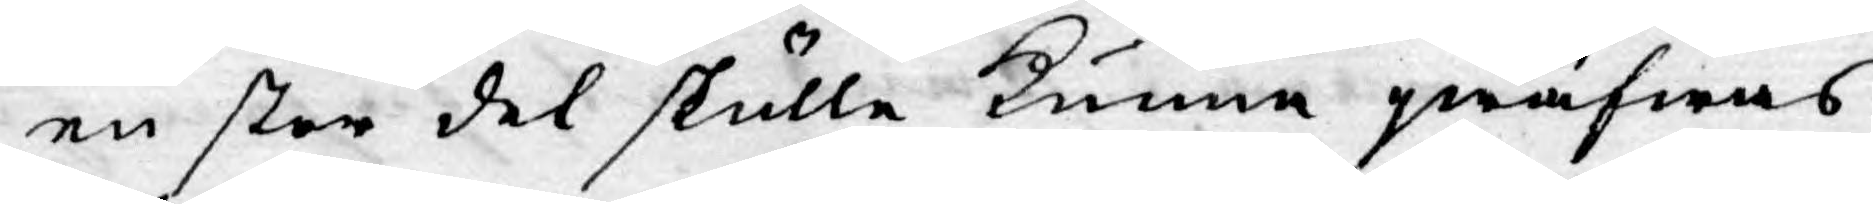en stor del skulle kunna qwäfwas
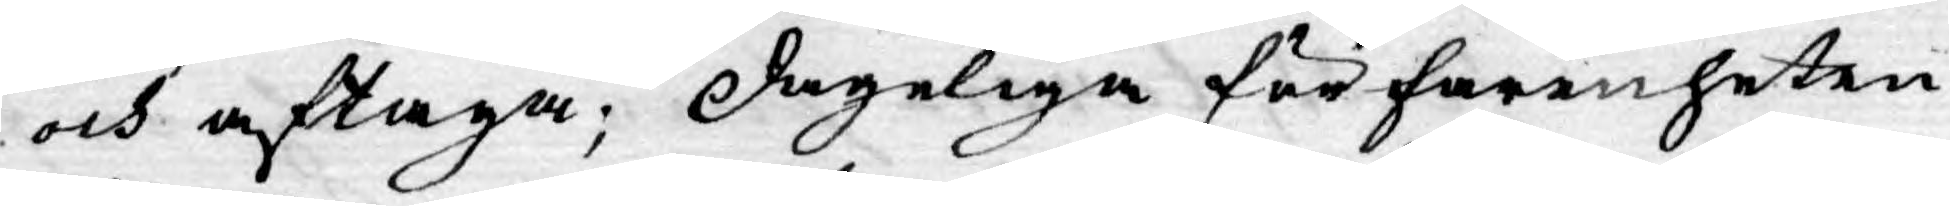och aftaga; dageliga förfarenheten
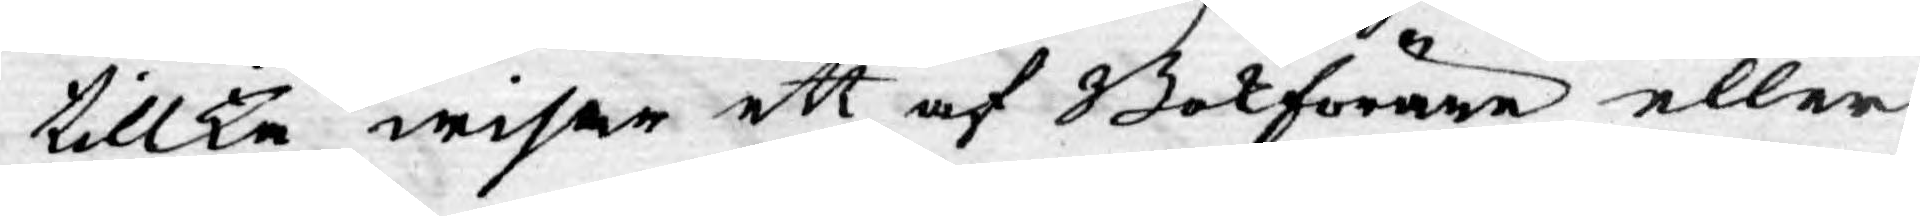tillika wisar ett af Bokförare eller
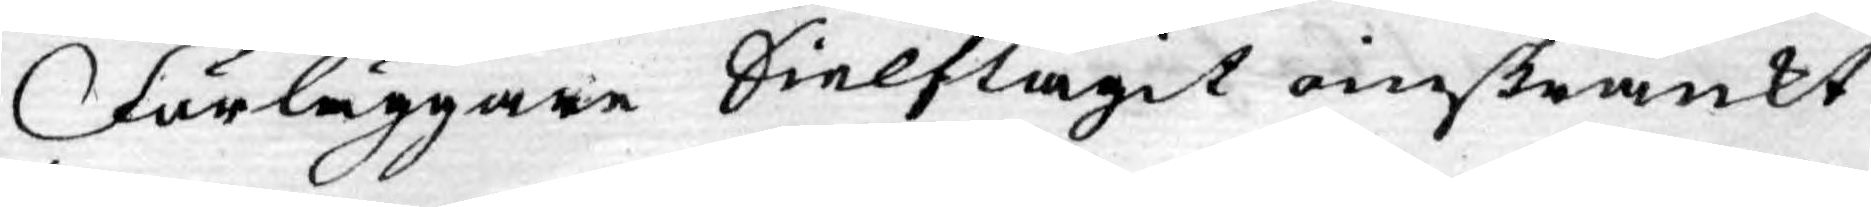Förläggare Sielftagit oinskränkt
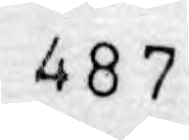487
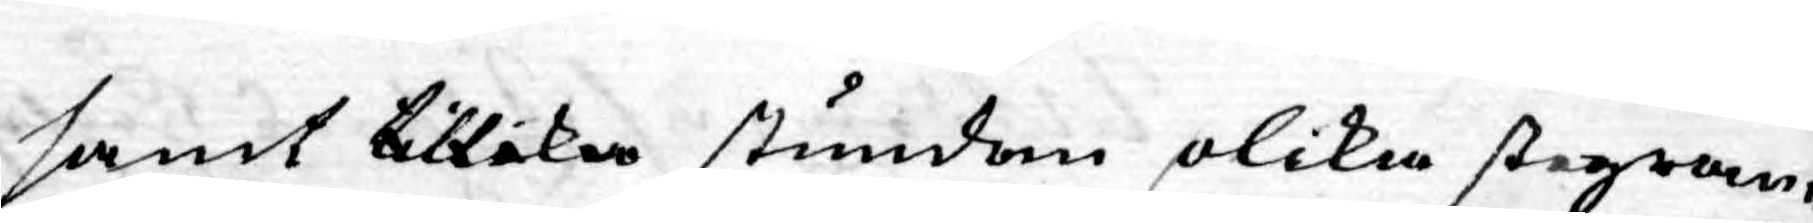samt tillika stundom olika stegran¬
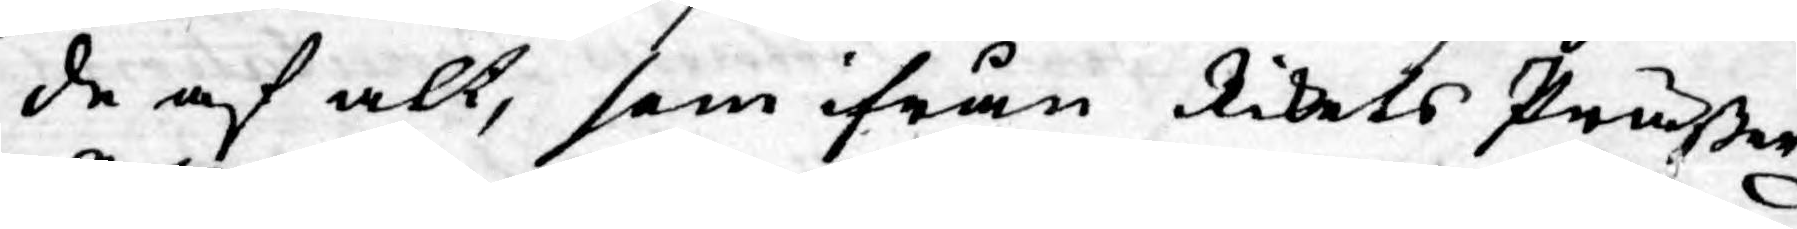de af alt, som ifrån Rikets Präßer
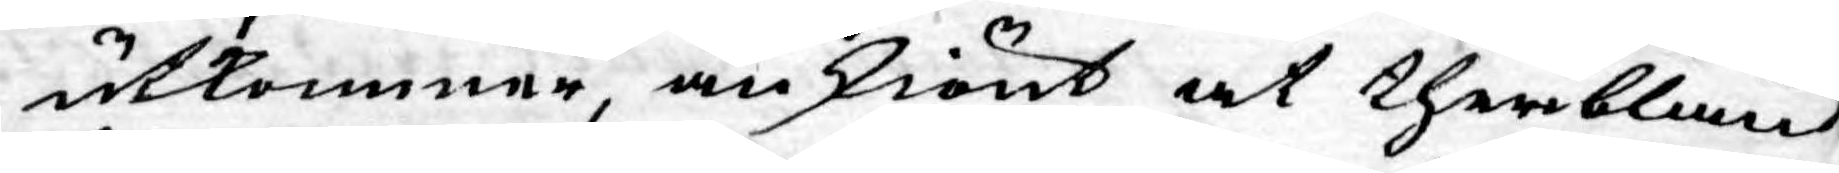utkommer, änskiönt at theribland
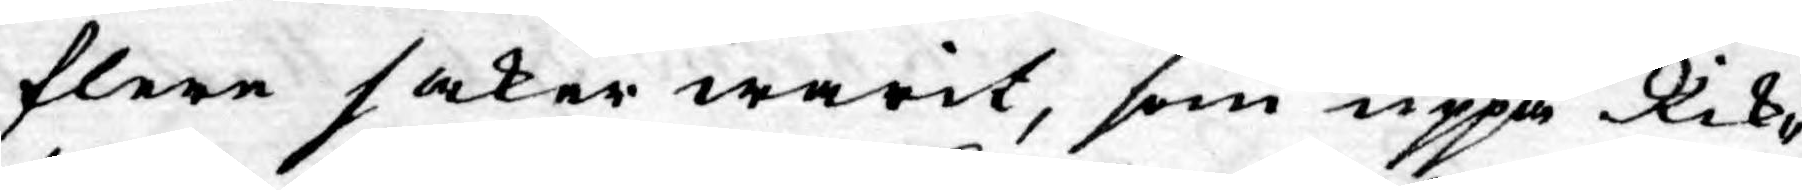flere saker warit, som uppå Rik¬
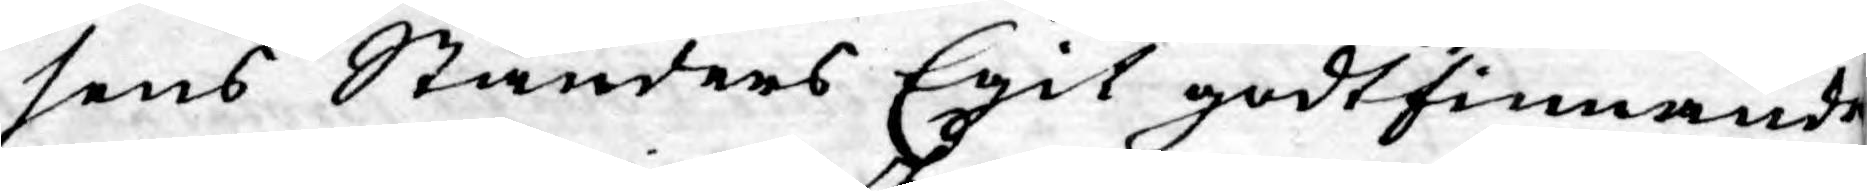sens Ständers Egit godtfinnande
